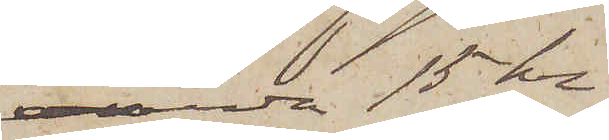värda 15 kr
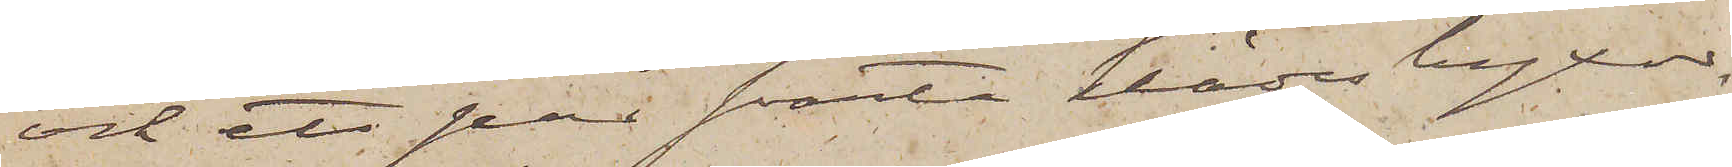och ett par svarta klädesbyxor,
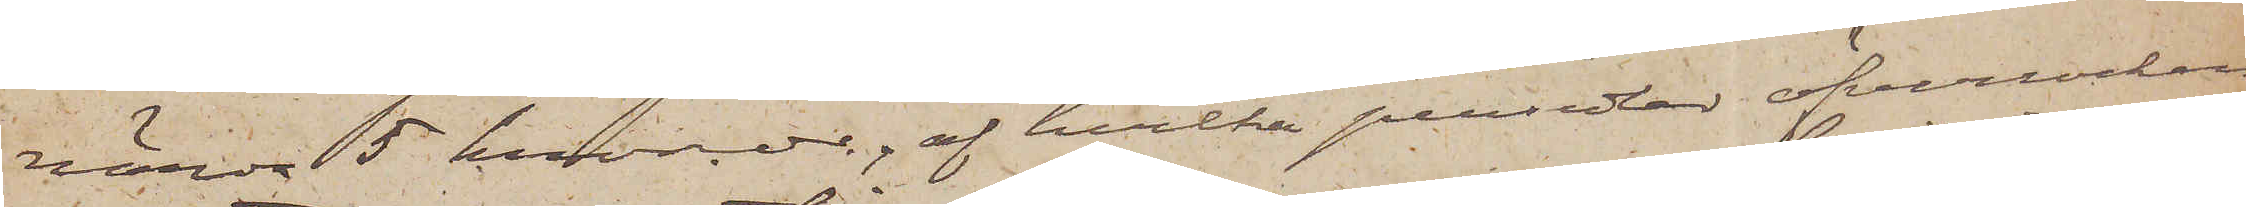värda 5 kronor, af hvilka persedlar öfverrocken
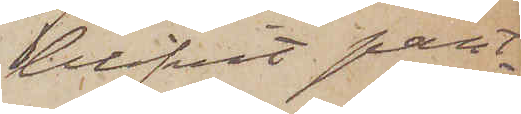blifvit pant¬
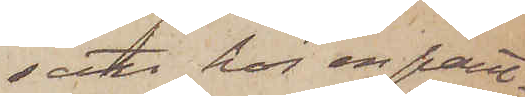satt hos en pant¬
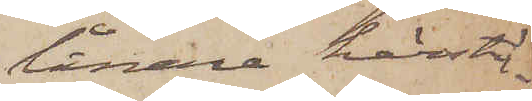lånare härstä¬
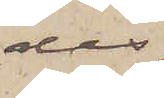des.
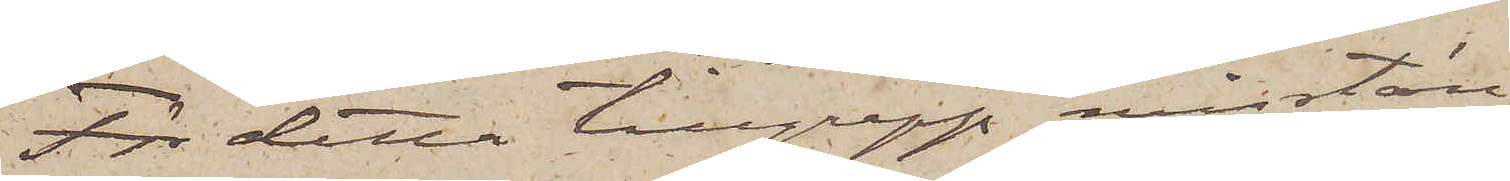För detta tillgrepp misstän¬
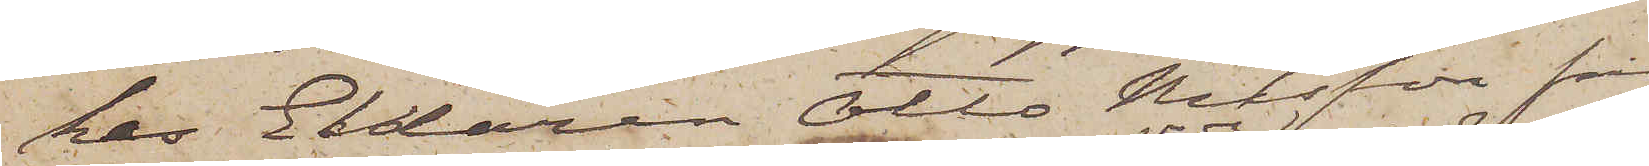kes Eldaren Otto Nilsson från
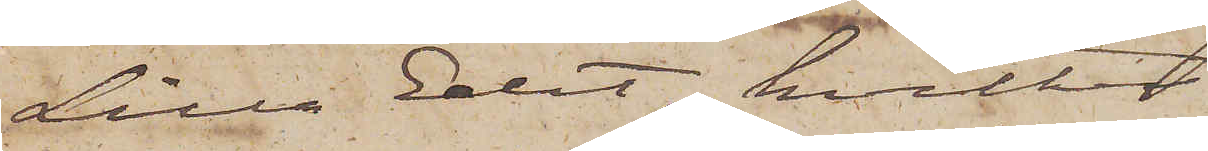Lilla Edet, hvilken
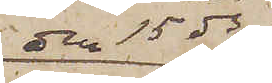den 15 ds
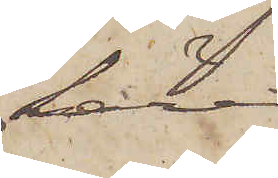lärer
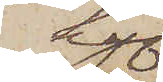haf¬
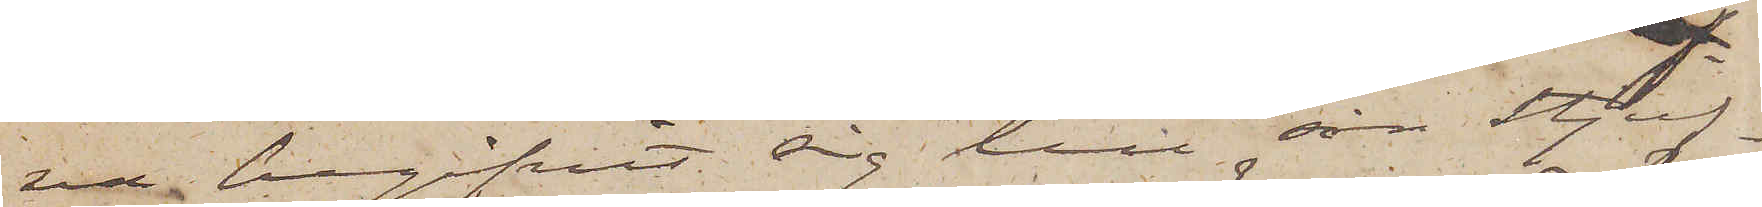va begifvit sig till sin stjuf¬
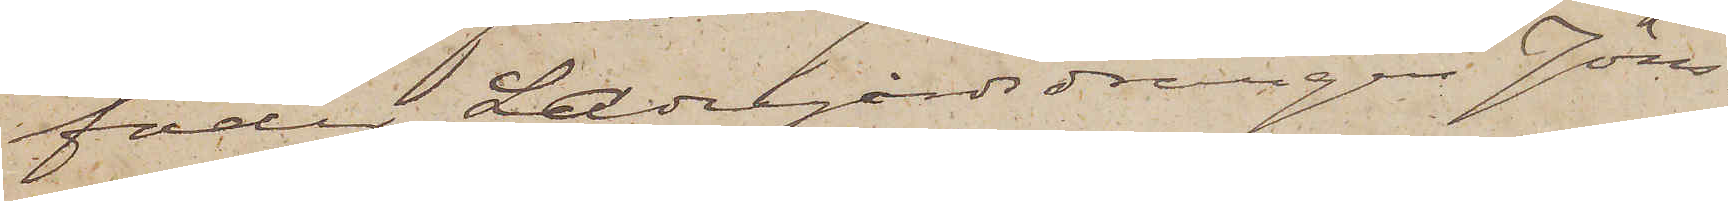fader Ladugårdsdrängen Jöns¬
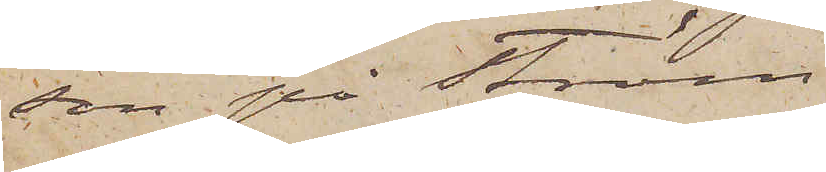son på Ström.
